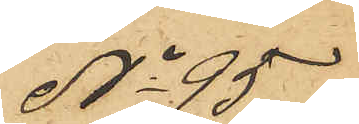No 95
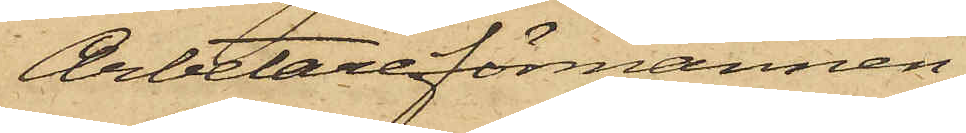Arbetareförmannen
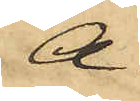A.
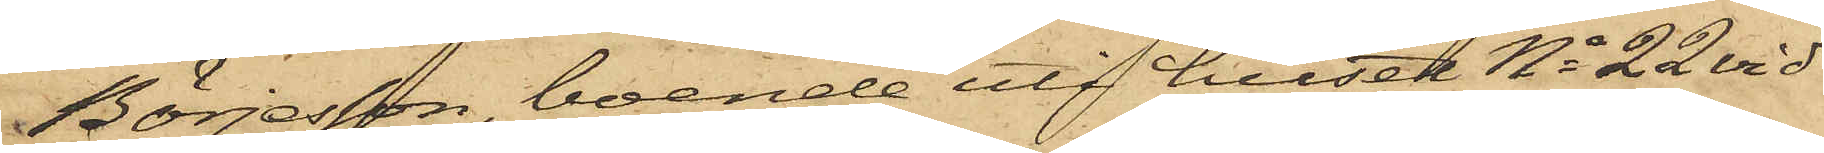Börjesson, boende uti huset No 22 vid
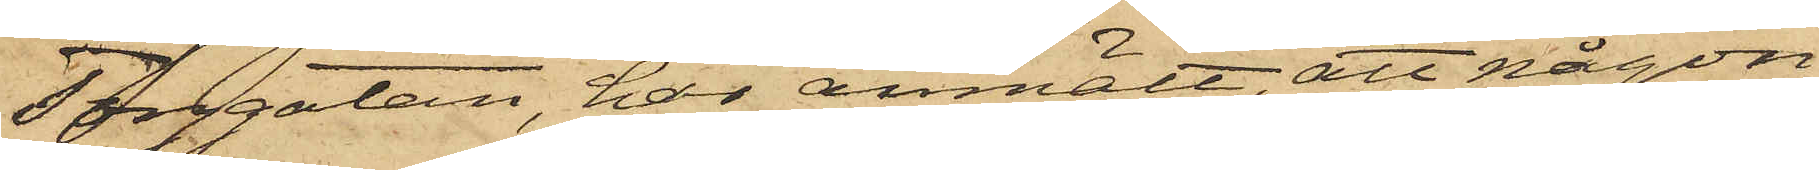Torggatan, har anmält att någon
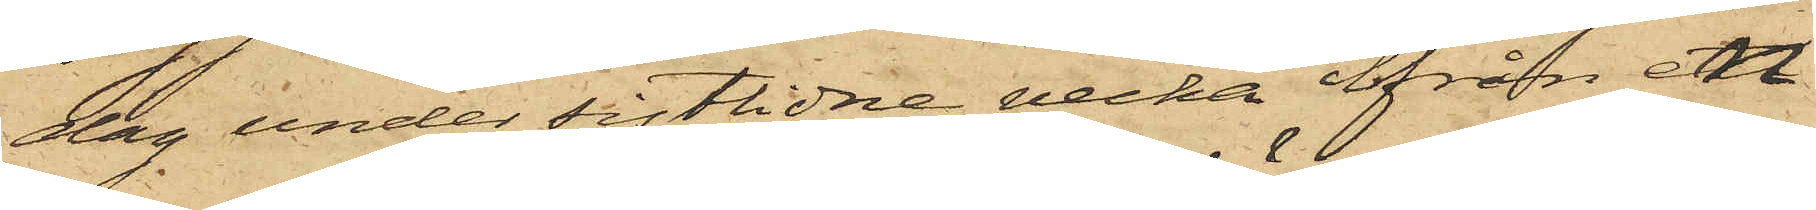dag under sistlidne vecka från ett
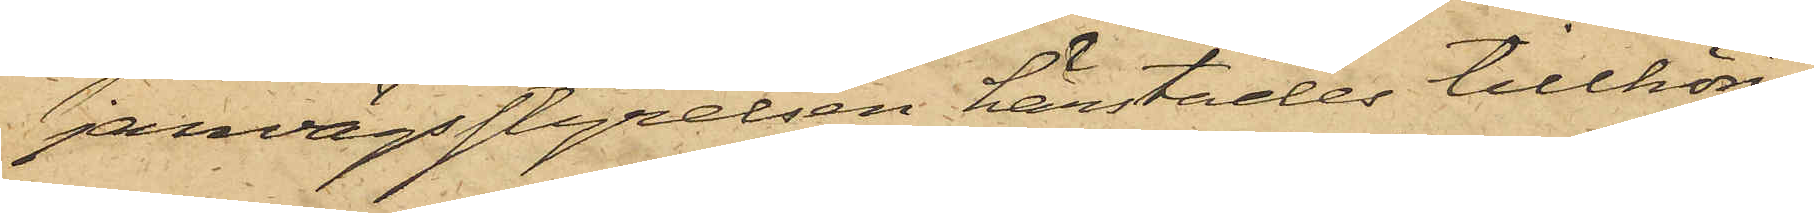jarnvägsstyrelsen härstädes tillhörig
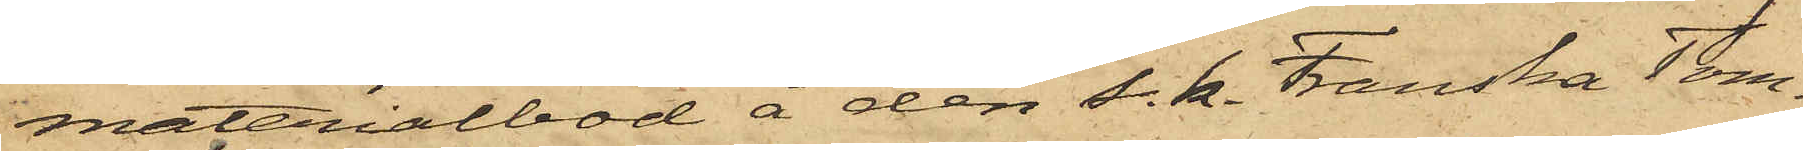materialbod å den s. k. Franska Tom¬
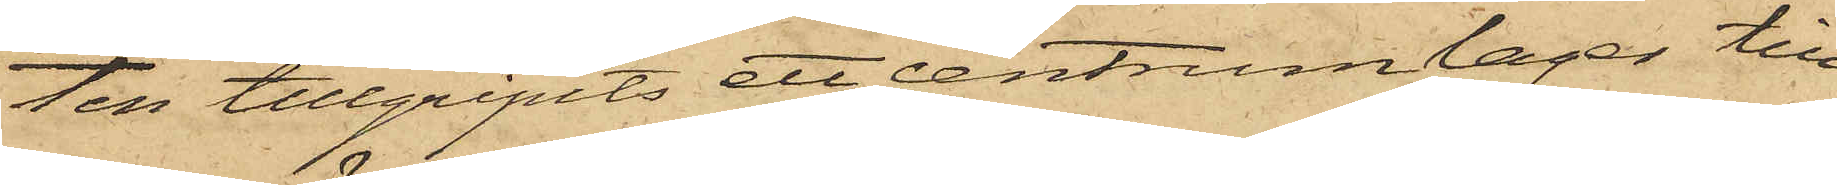ten tillgripits ett centrumlager till
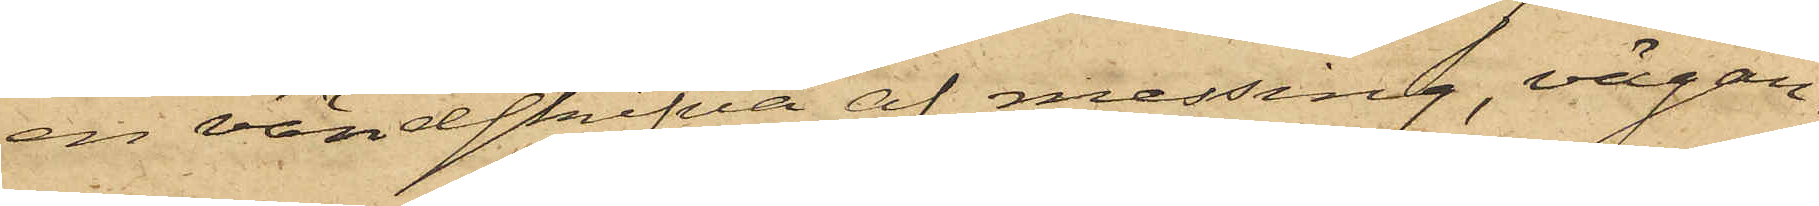en vändskrifva af messing, vägan¬
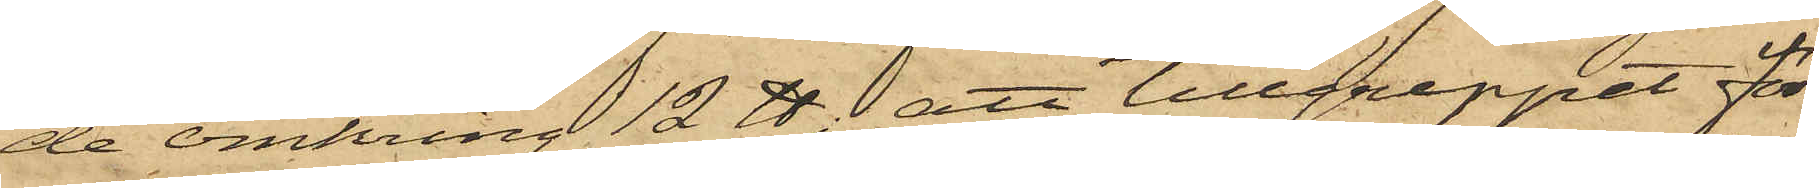de omkring 12 ℔; att tillgreppet för¬
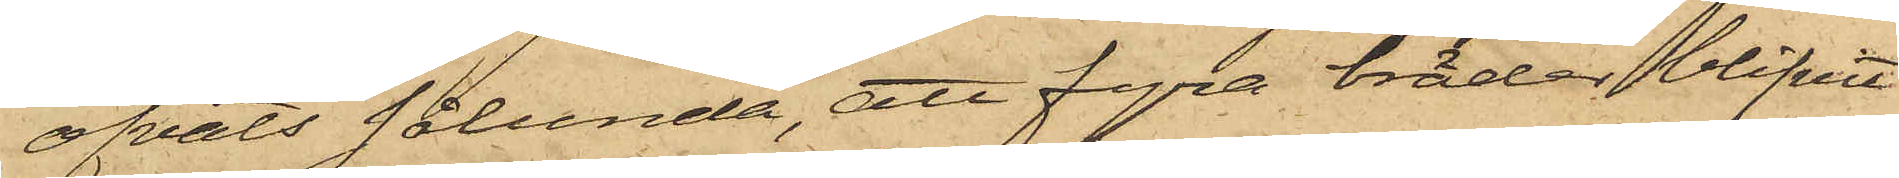öfvats sålunda, att fyra bräder blifvit
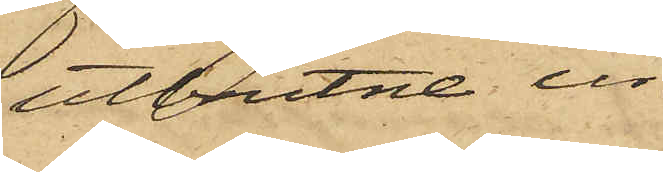utbrutne ur
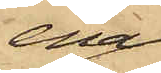ena
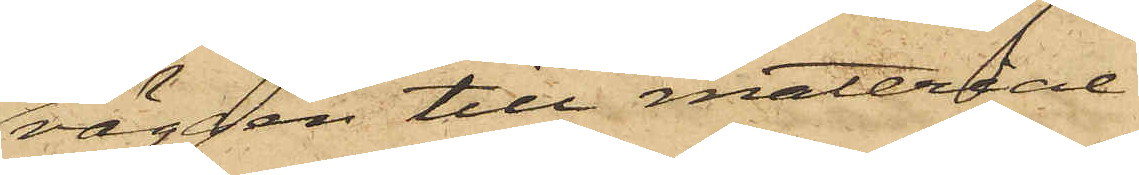väggen till material¬
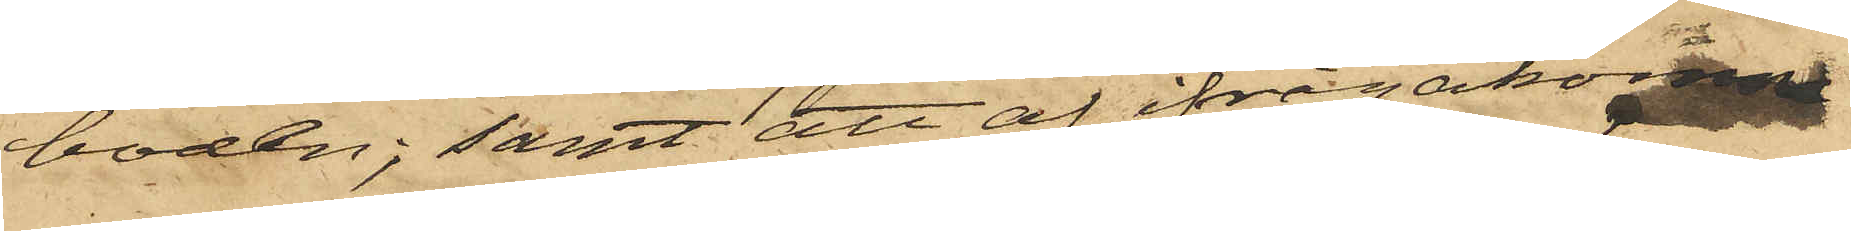boden; samt att af ifrågakomne
